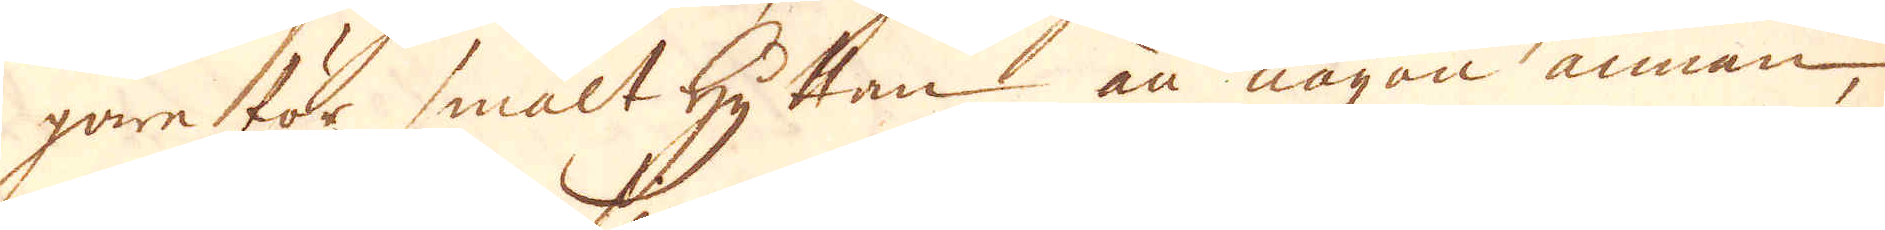gare tör smälthyttan än någon annan,
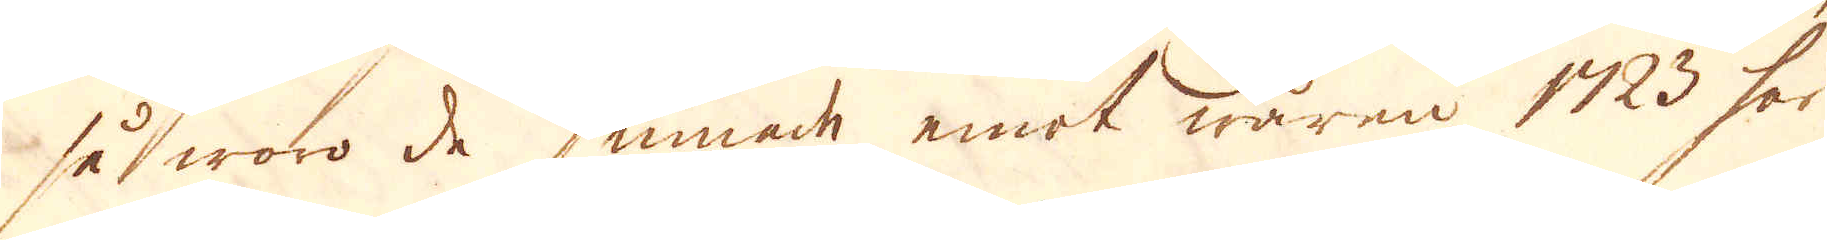så woro de hinnade emot wåren 1723 här
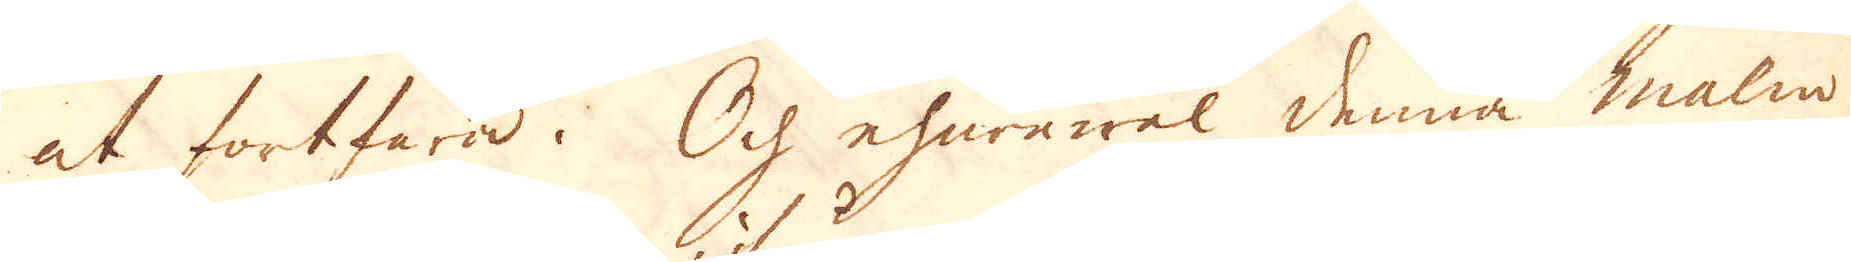at fortfara. Och ehuruwäl denna malm
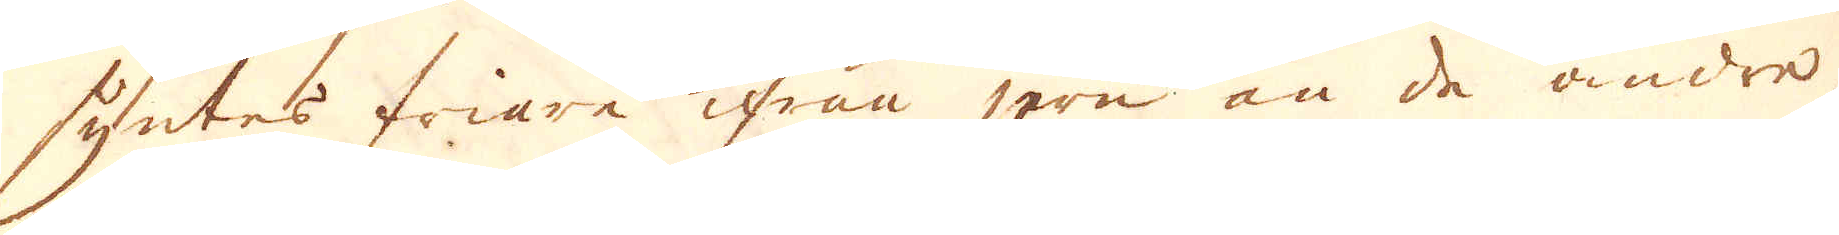syntes friare ifrån jern än de andre,
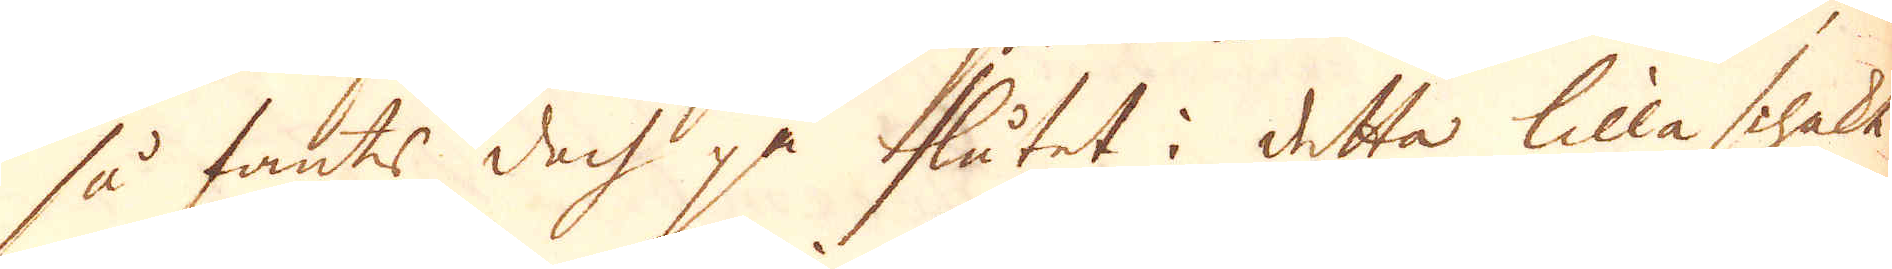så fants doch på flåtet i detta lilla schakt
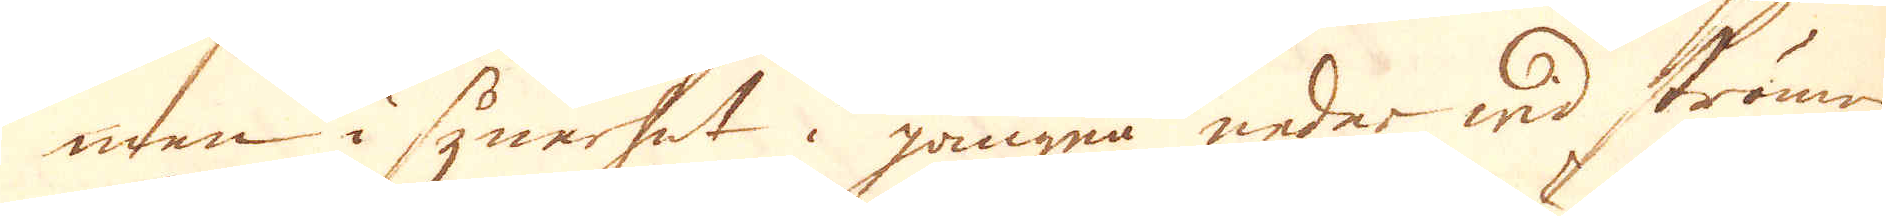men i synerhet i gången neder wid strömen
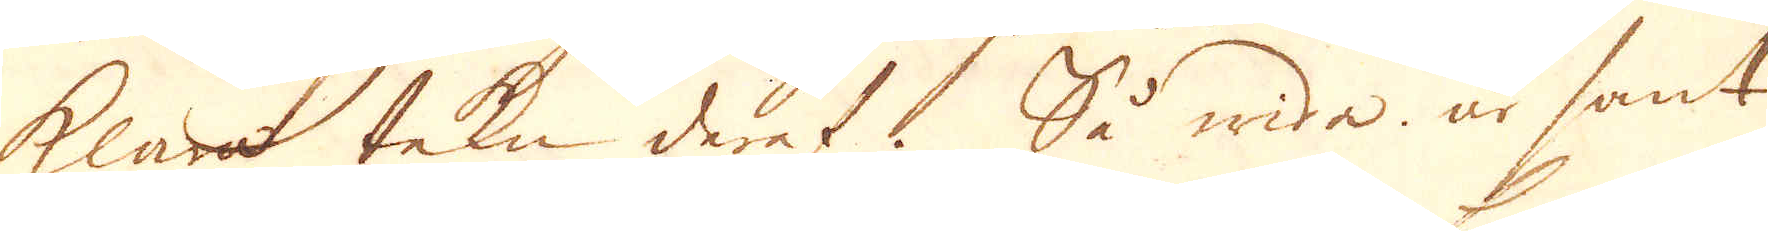klara tekn deraf. Så wida är sant
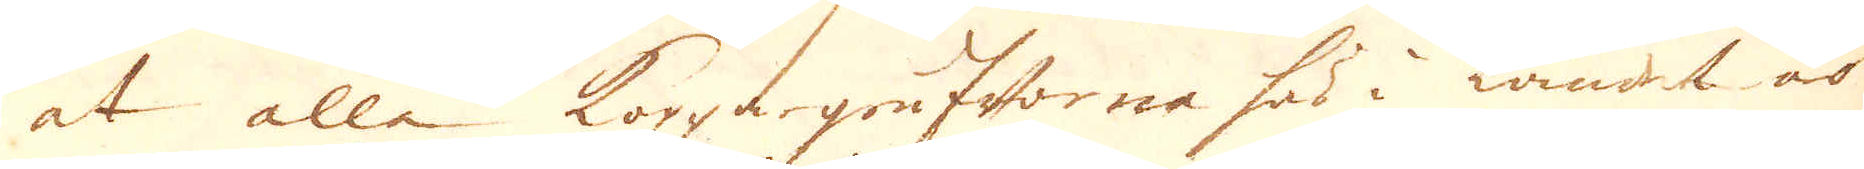at alle Koppargrufworna här i landet är
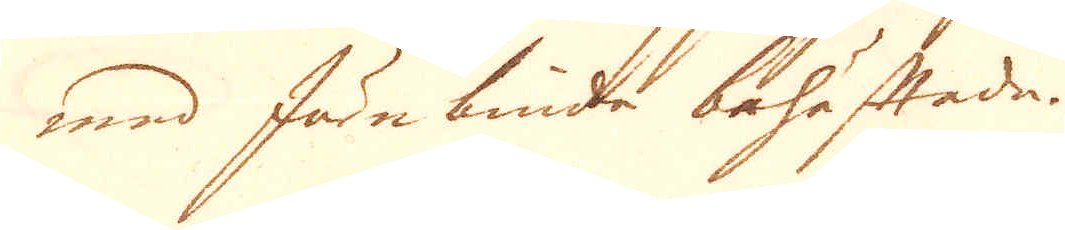med Järn binda bohäftade.
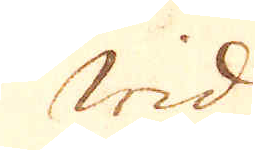Wid
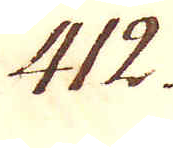412.
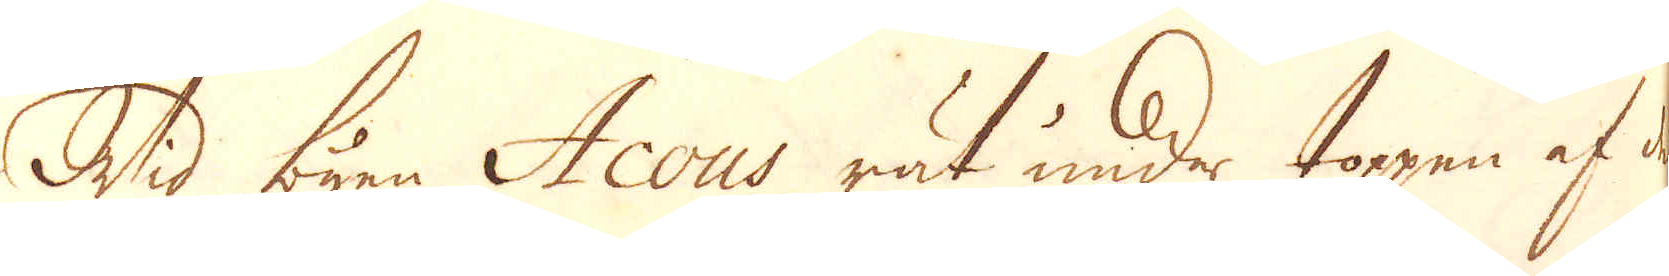Wid byen Acous rät under toppen af det
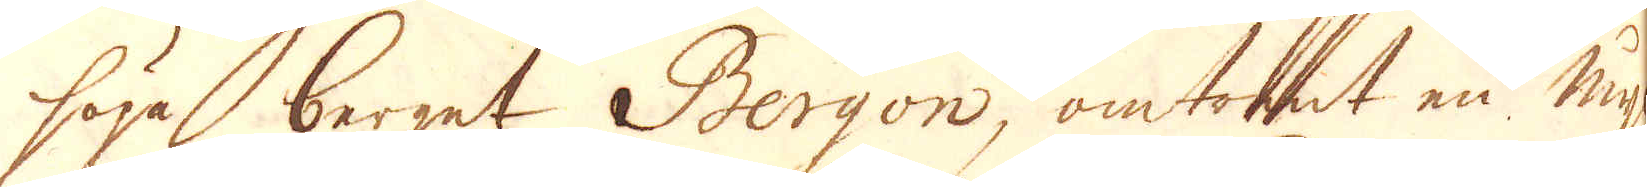höga berget Bergon, omtrent en Mijl
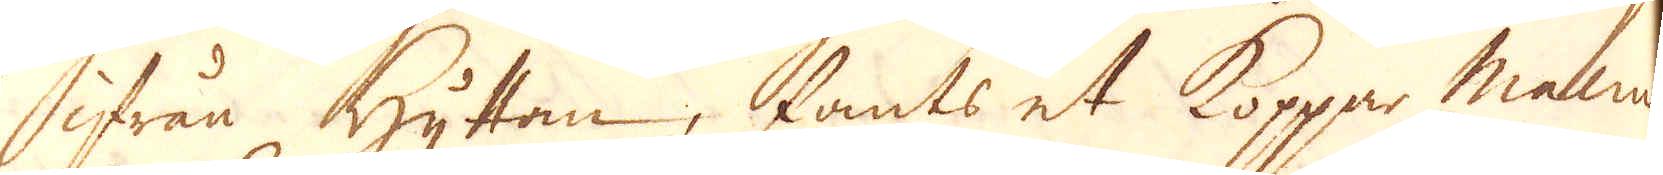ifrån Hyttan, fants et Koppar malm
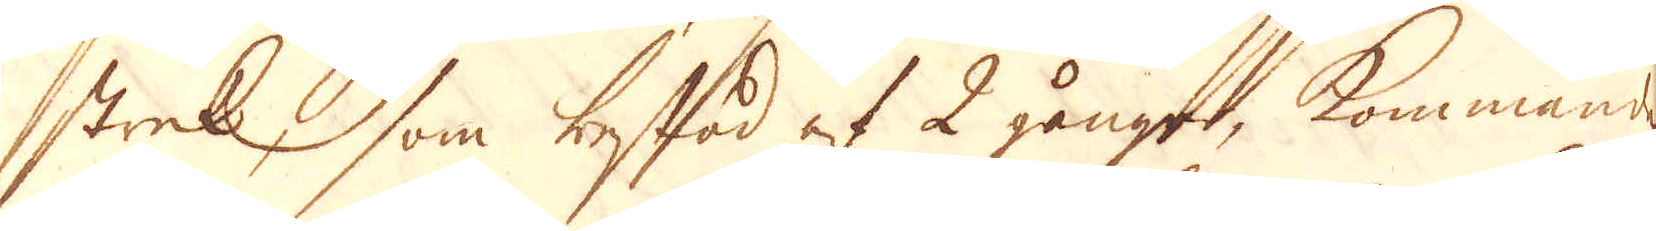strek, som bestod af 2 gångar, kommande
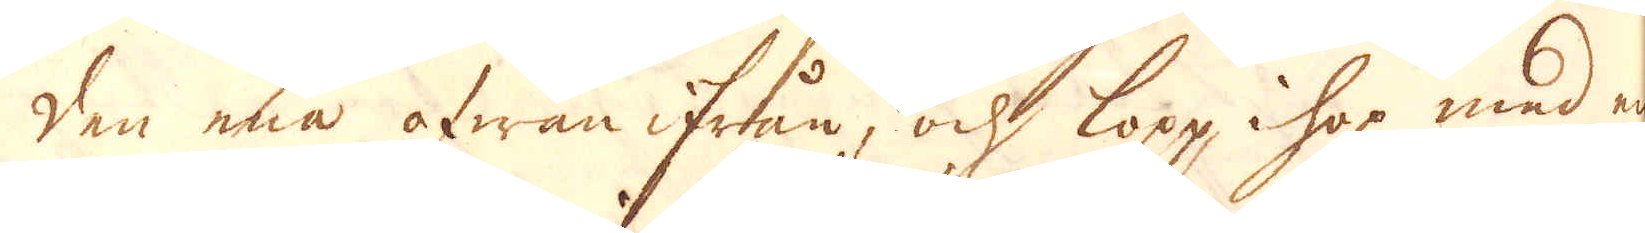den ena ofwan ifrån, och lopp ihop med en
